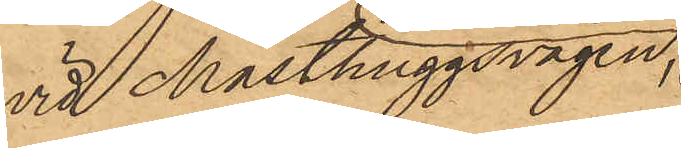vid Masthuggsvägen,
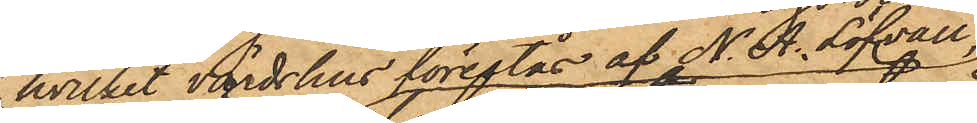hvilket värdshus förestås af N. A. Löfvall,
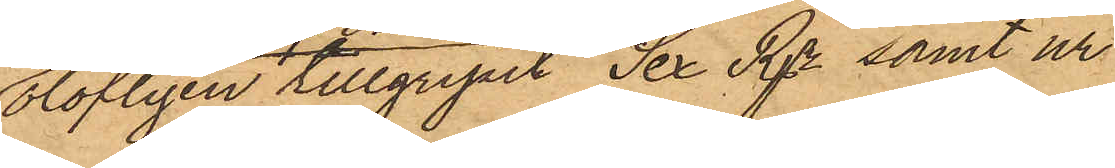olofligen tillgripit Sex Rdr samt ur
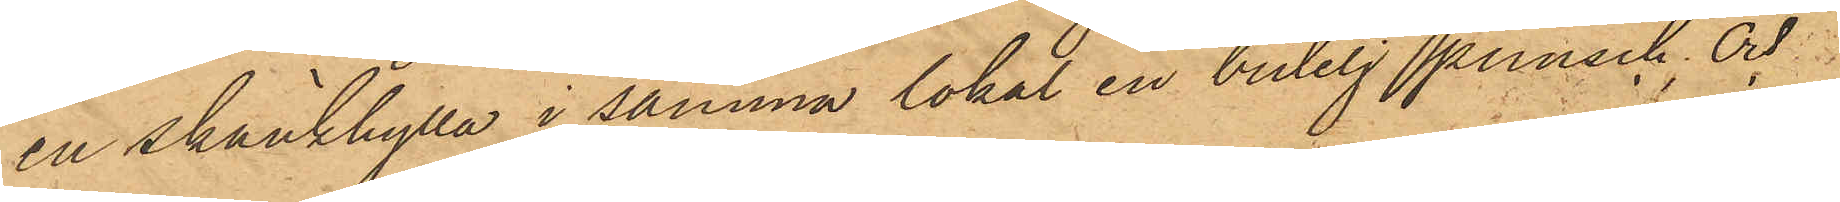en skänkhylla i samma lokal en butelj punsch; och
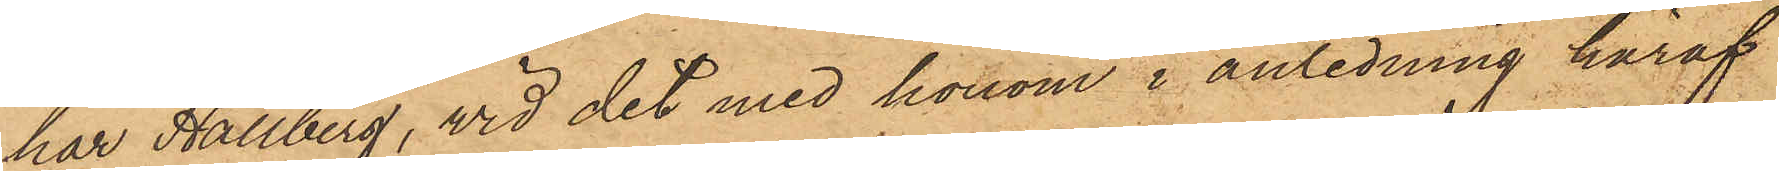har Hallberg, vid det med honom i anledning häraf
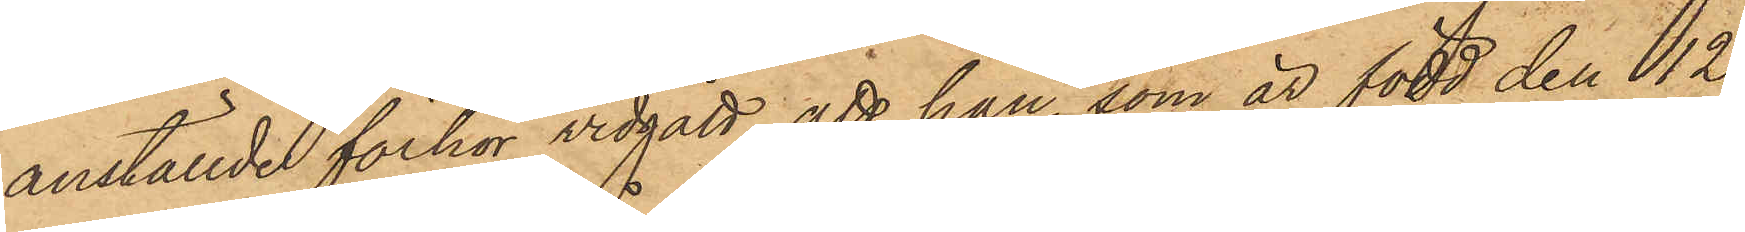anställde förhör vidgått, att han, som är född den 12
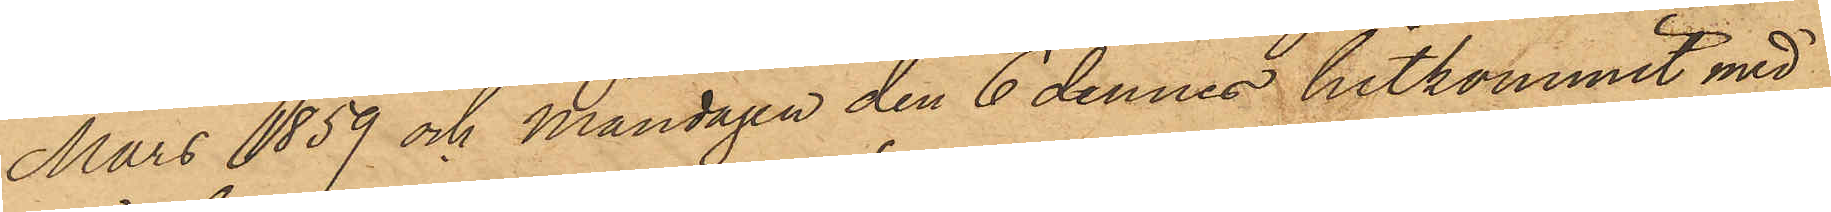Mars 1859 och måndagen den 6 dennes hitkommit med
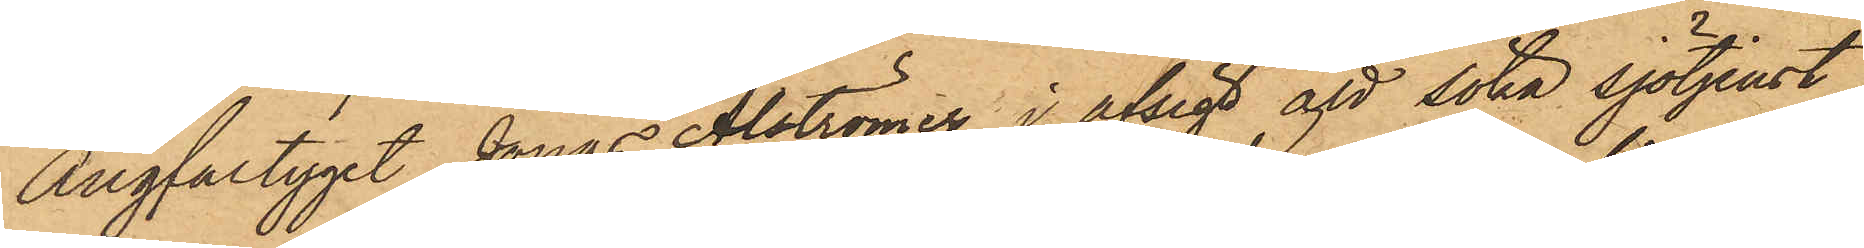Ångfartyget Jonas Alströmer i afsigt att söka sjötjenst,
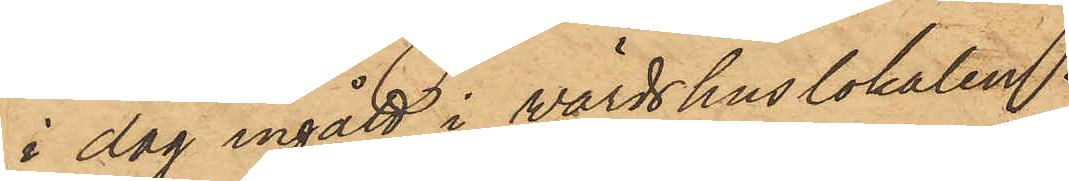i dag ingått i wärdshuslokalen
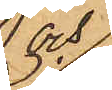och
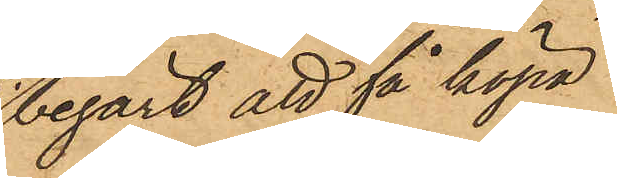begärt att få köpa
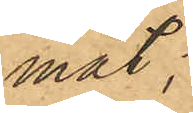mat;
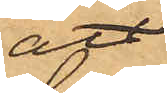att
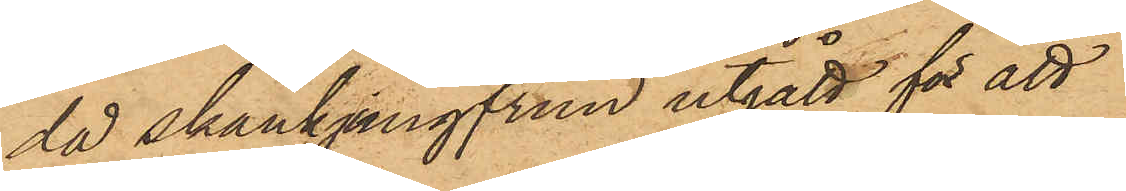då skänkjungfrun utgått för att
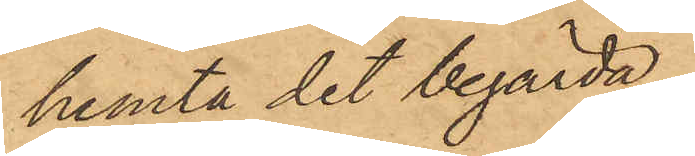hemta det begärda,
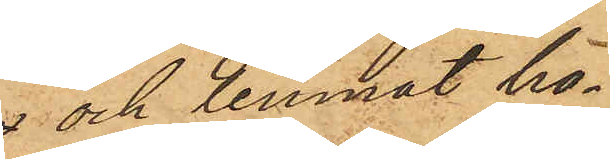 och lemnat ho¬
